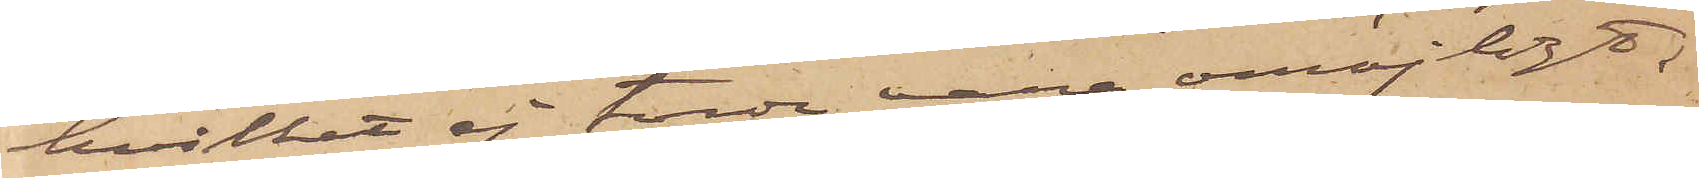hvilket ej torde vara omöjligt;
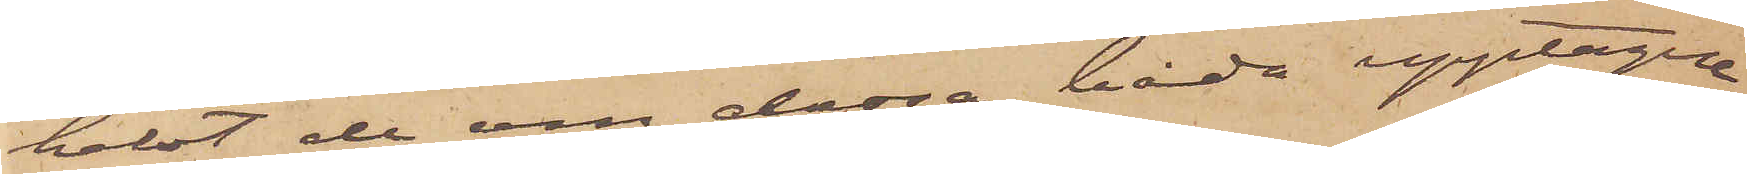helst de om dessa båda upptagne
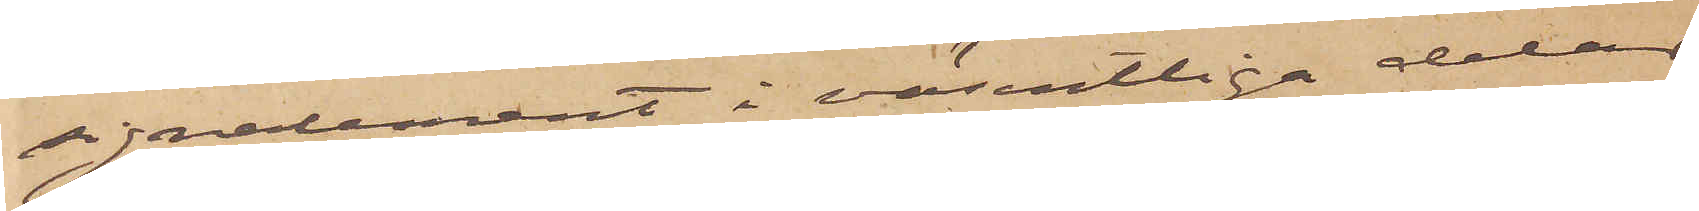signalement i väsentliga delar
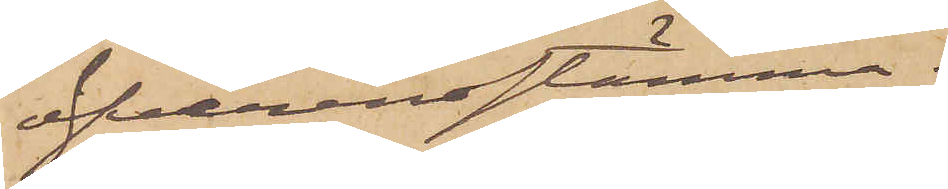öfverensstämma.
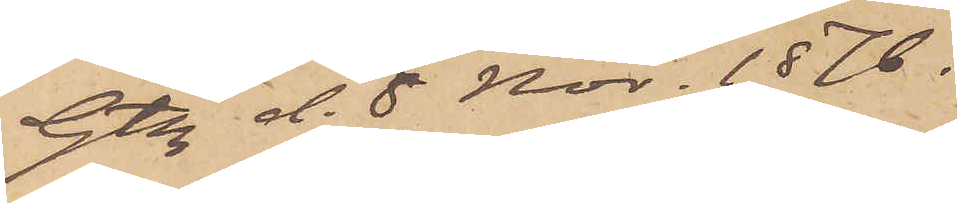Gtbg d. 8 Nov. 1876.
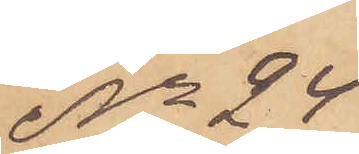No 24
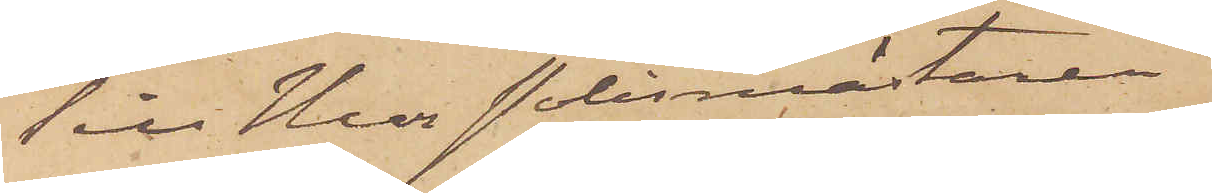Till Herr Polismästaren.
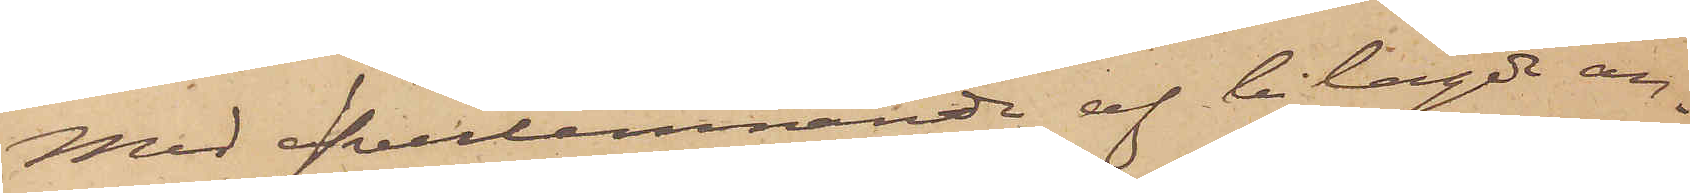Med öfverlemnande af bilagde an¬
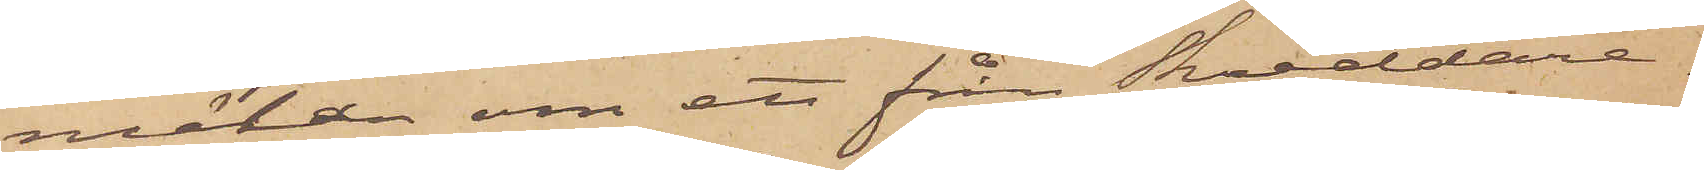mälan om ett från Skräddare¬
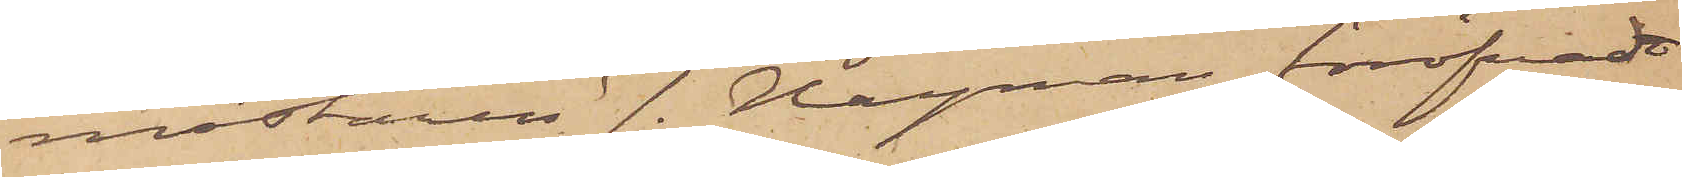mästaren J. Hayman föröfvadt
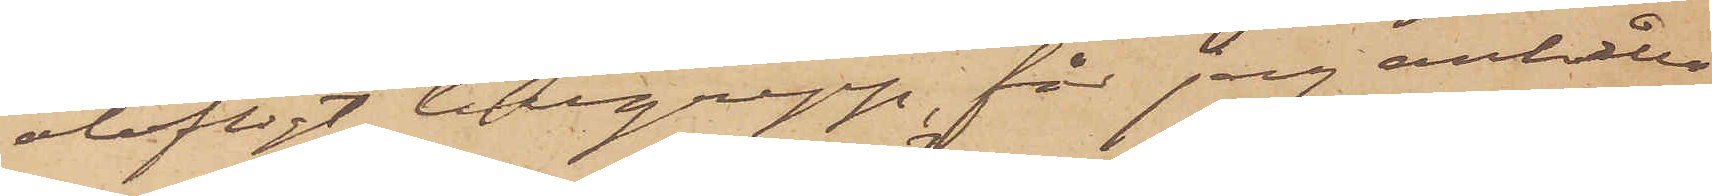olofligt tillgrepp, får jag anhålla
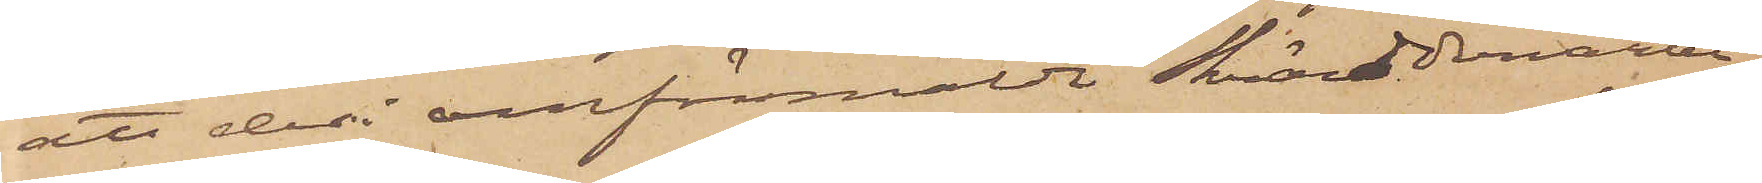att deri omförmälde Skrädderiarbe¬
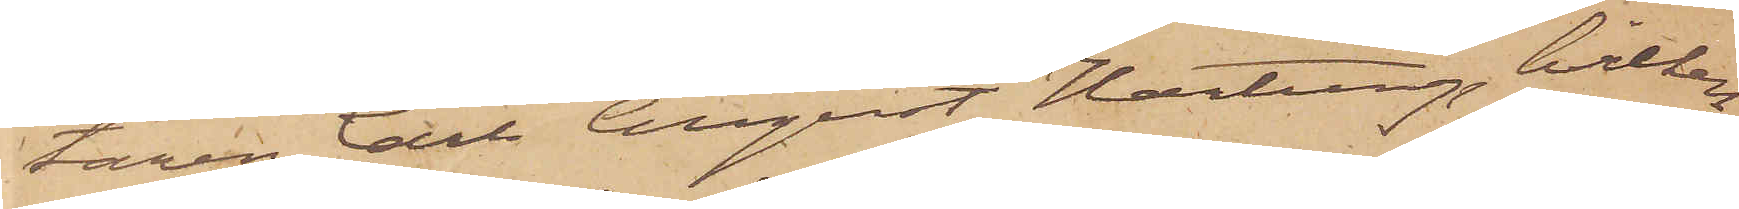taren Carl August Hartung, hvilken
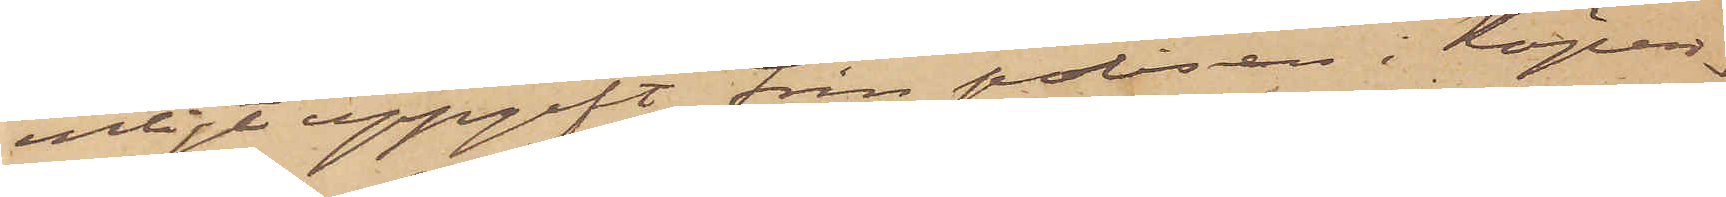enligt uppgift från polisen i Köpen¬
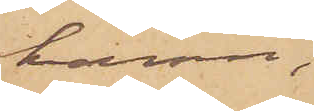hamn,
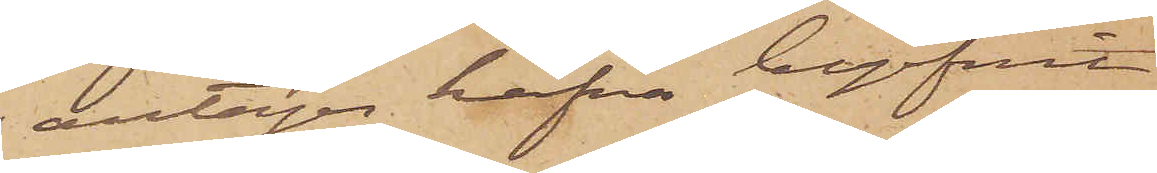antages hafva begifvit
